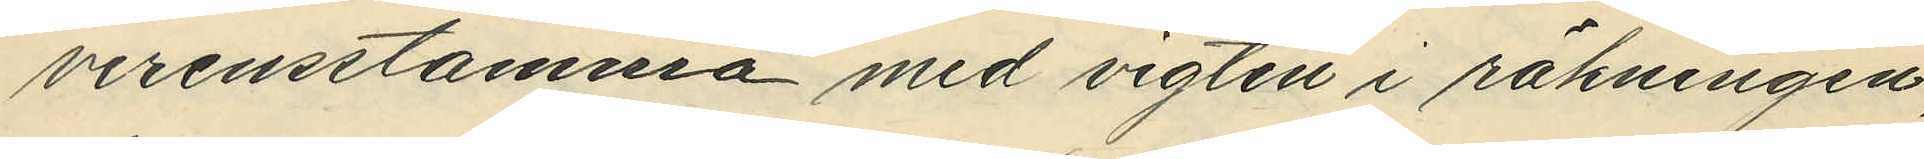verensstämma med vigten i räkningen,
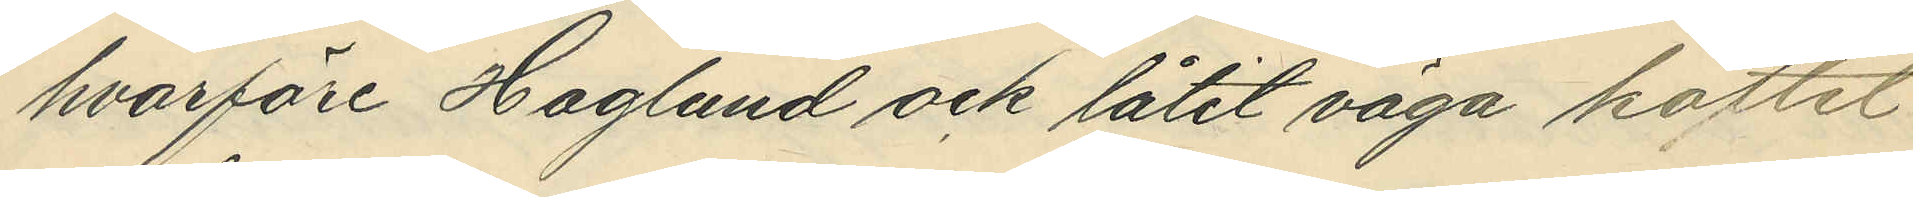hvarföre Haglund ock låtit väga köttet
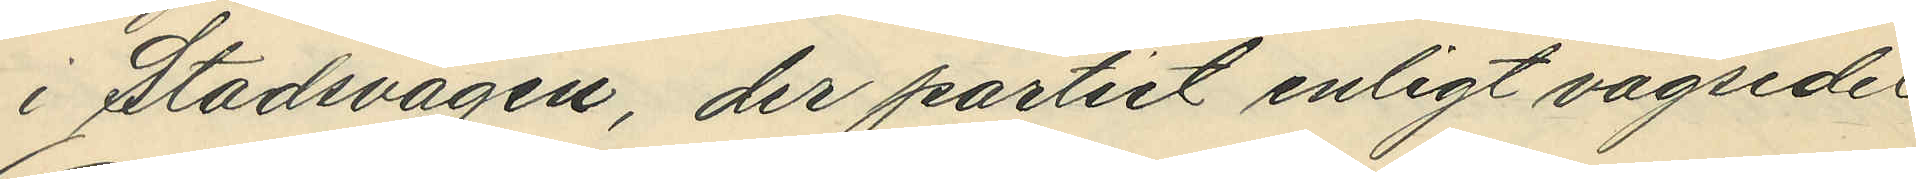i Stadsvågen, der partiet enligt vågsedel
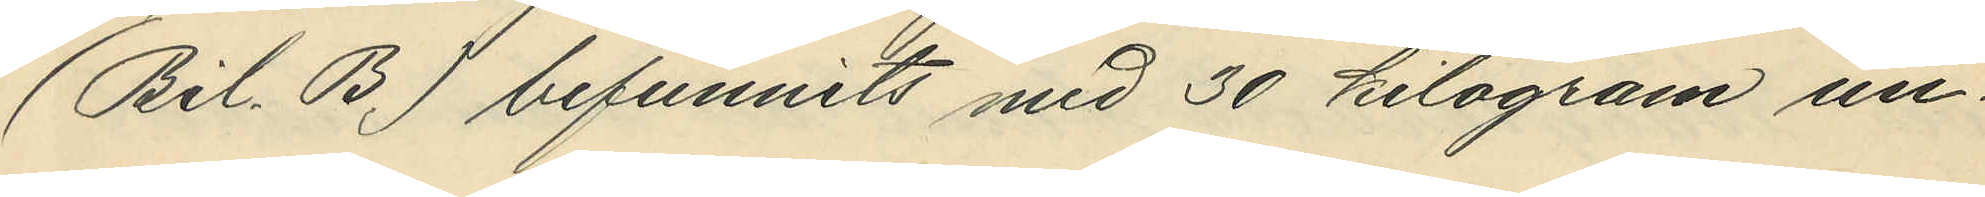(Bil. B) befunnits med 30 kilogram un¬
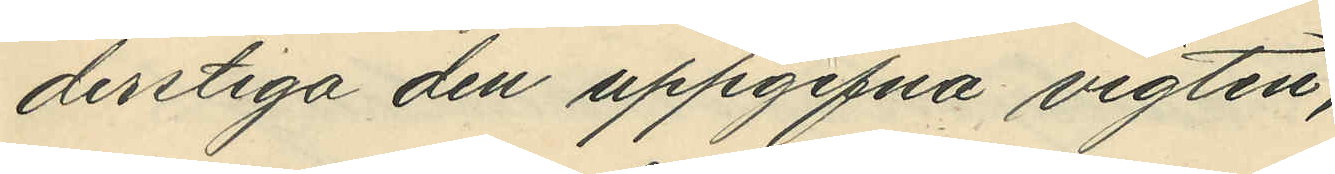derstiga den uppfifvna vigten;
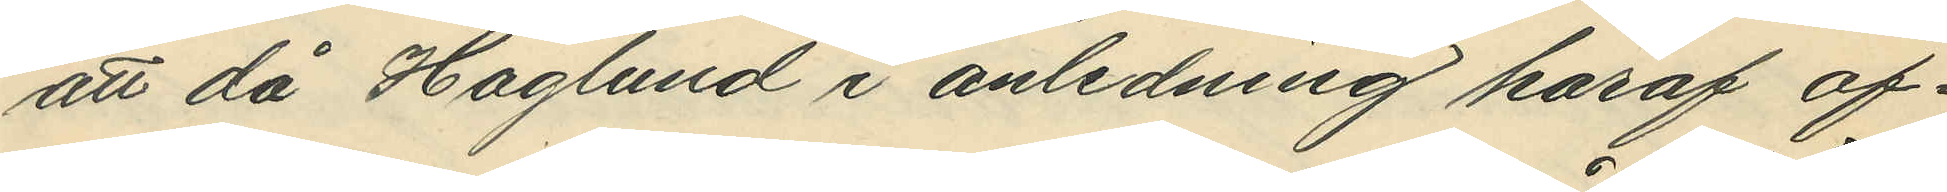att då Haglund i anledning häraf af¬
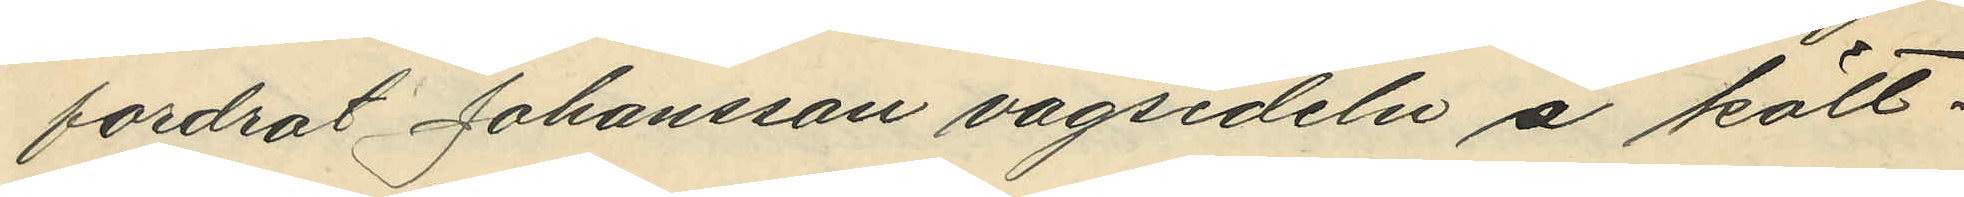fordrat Johansson vågsedeln å kött¬
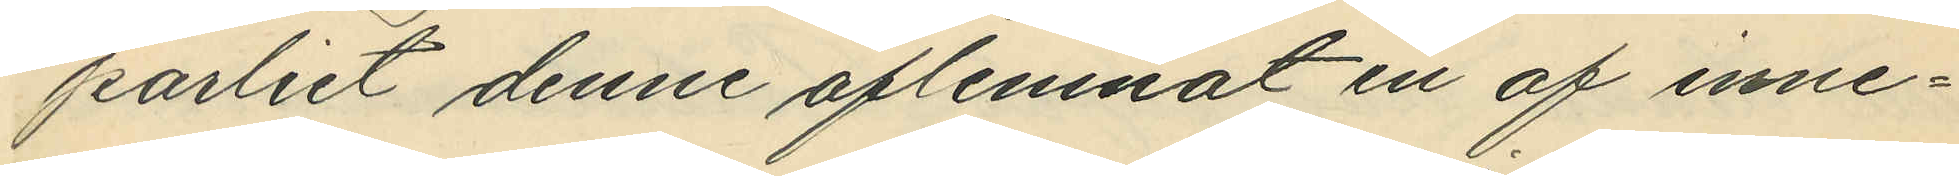partiet denne aflemnat en af inne¬
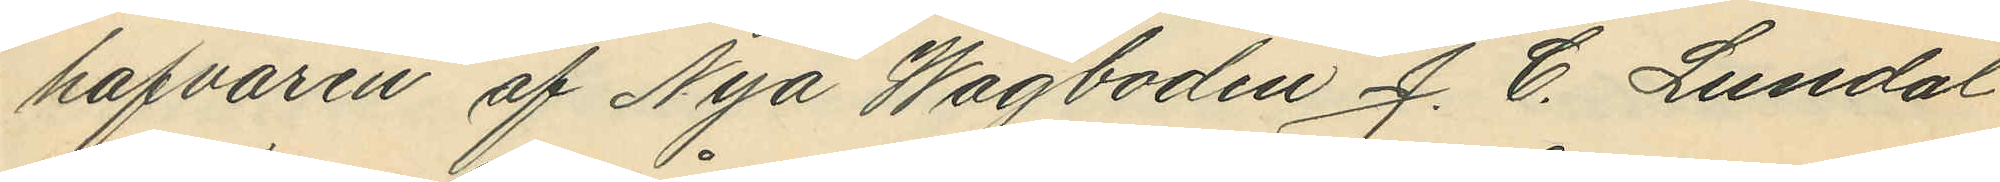hafvaren af Nya Vågboden J. C. Lundal
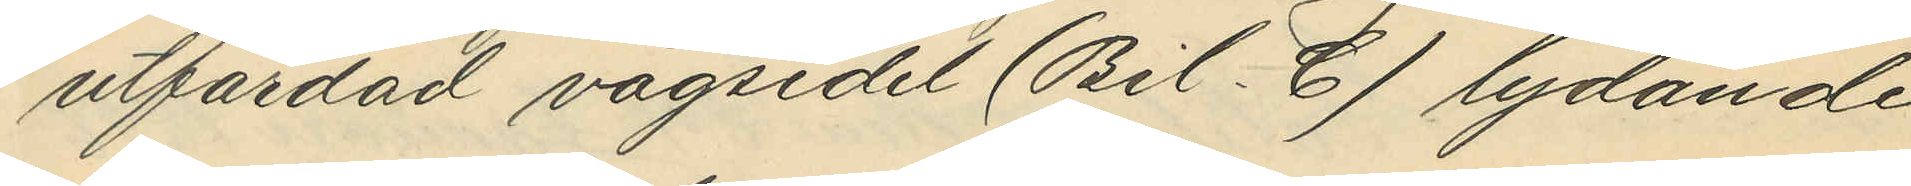utfärdad vågsedel (Bil. C) lydande
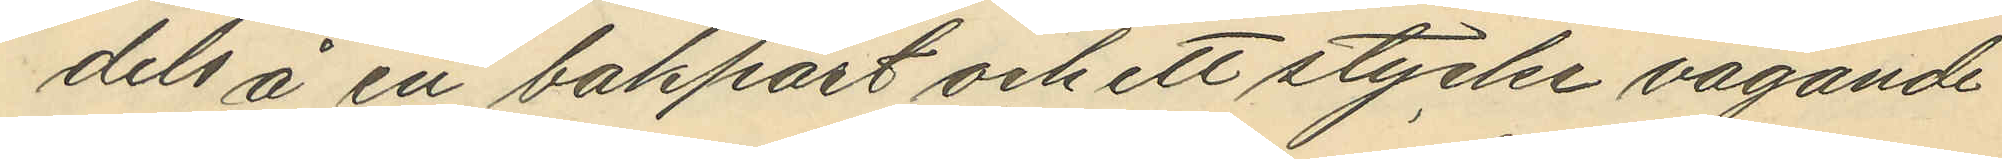dels å en bakpart och ett stycke vägande
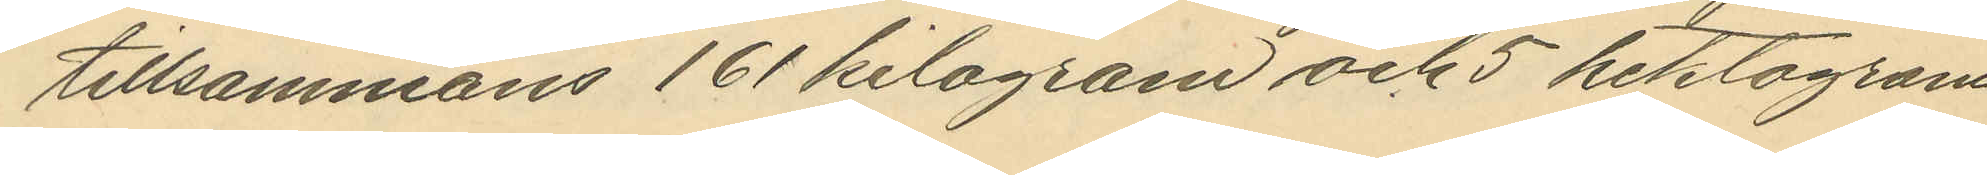tillsammans 161 kilogram och 5 hektogram
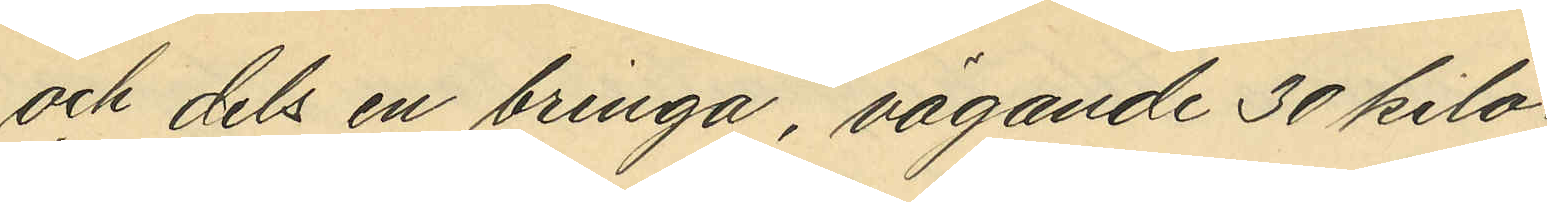och dels en bringa, vägande 30 kilo¬
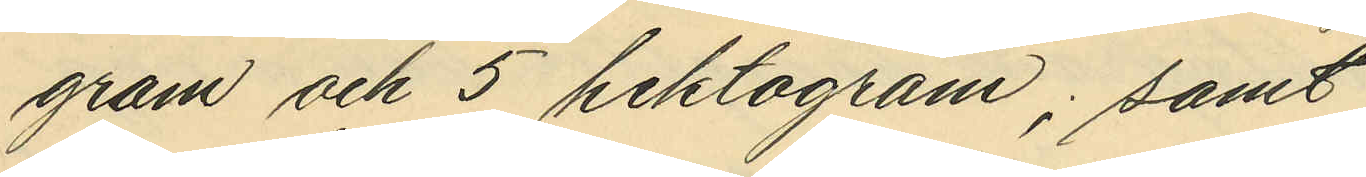gram och 5 hektogram, samt
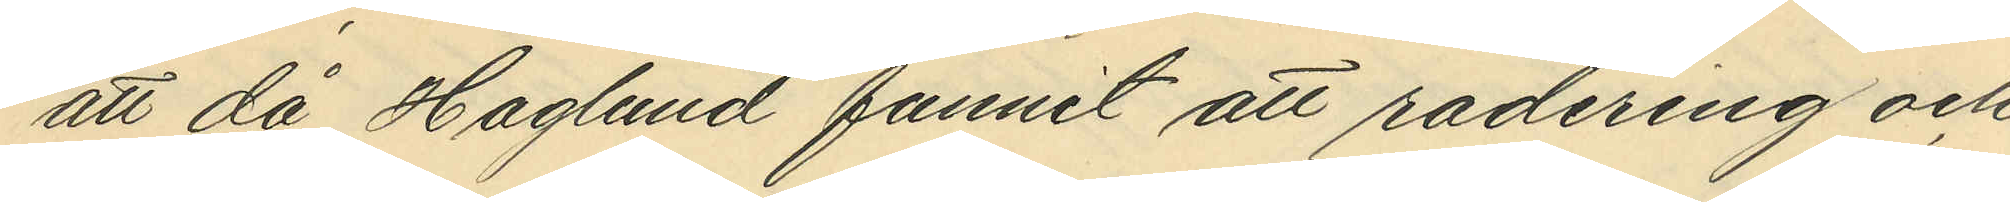att då Haglund funnit att radering och
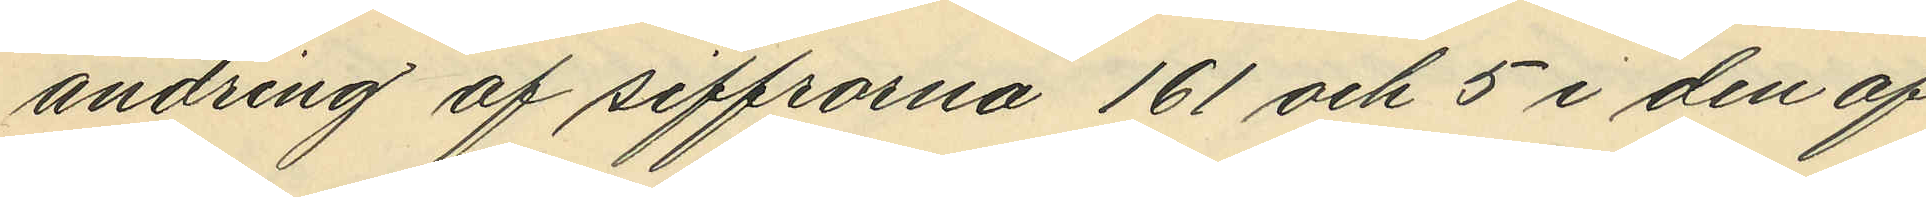ändring af siffrorna 161 och 5 i den af
